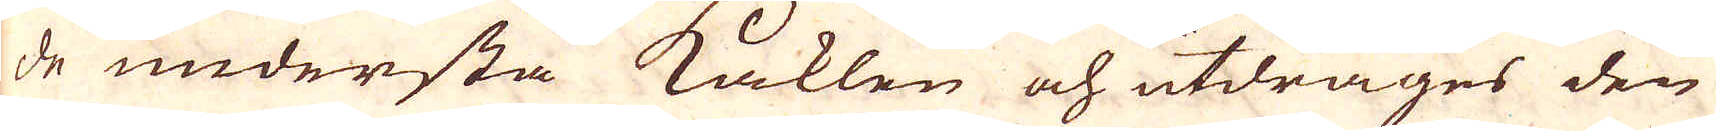de understa Kaklen och utdrages den
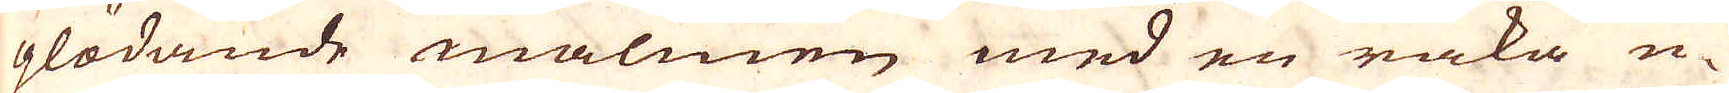glödande malmen med en raka u-
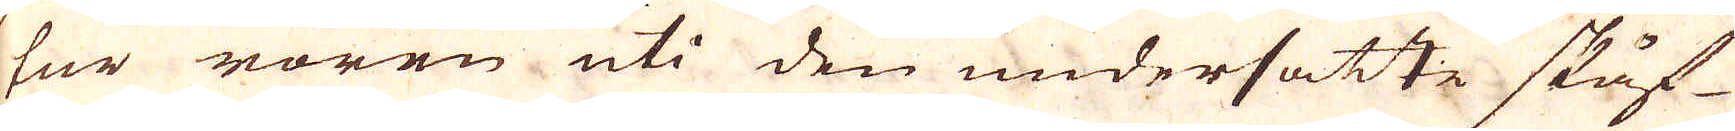tur rören uti den undersatte skåf-
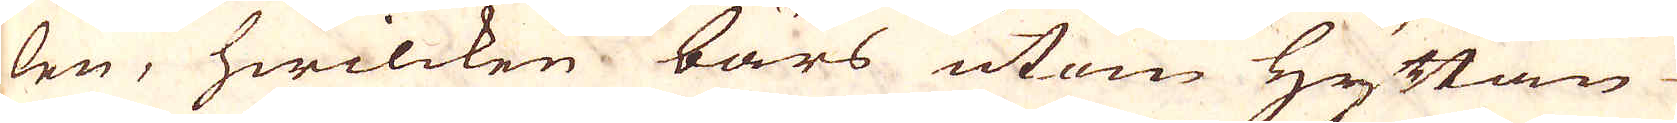len, hwilcken bärs utom Hyttan
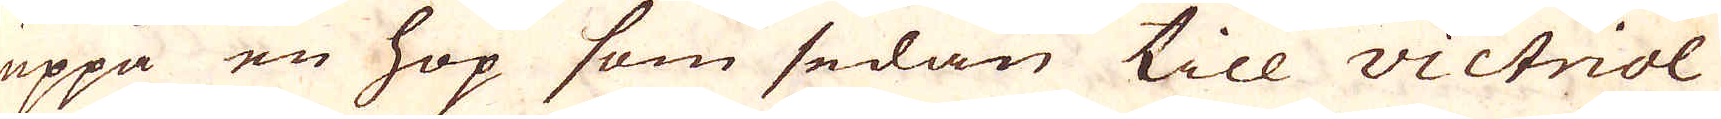uppå en hop som sedan till victriol
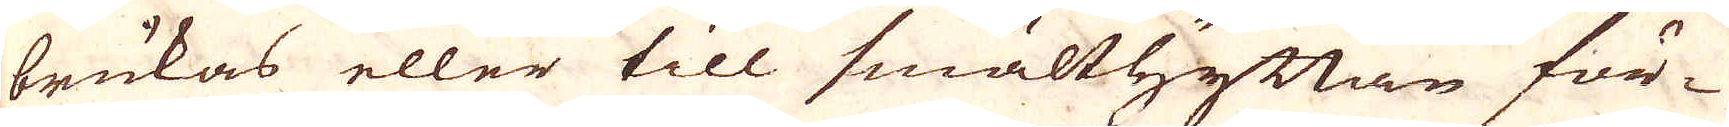brukas eller till smälthyttan för-
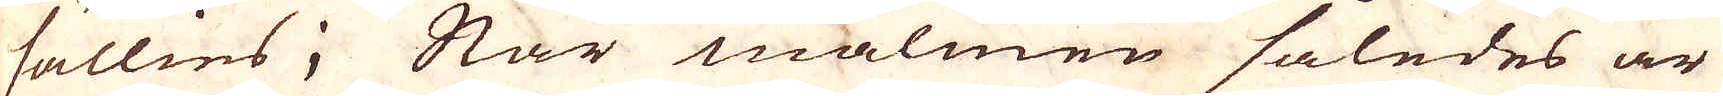sällies; När malmen således är
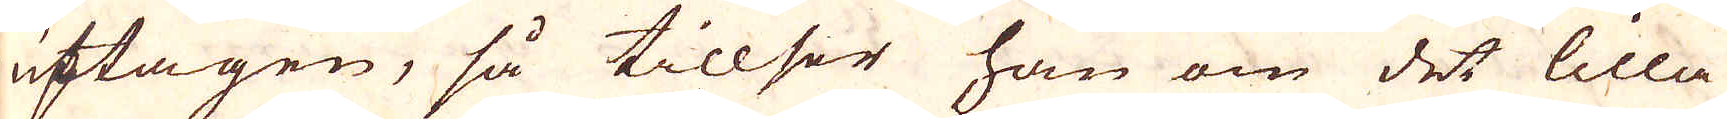uptagen, så tillser han om det lilla
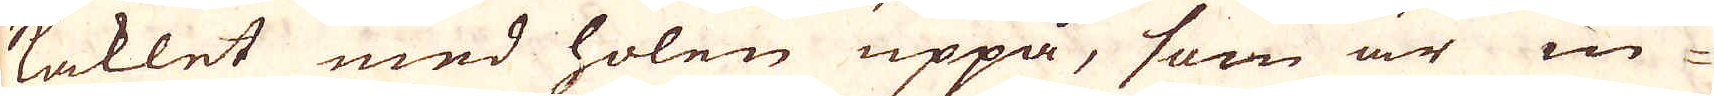kaklet med holen uppå, som är in-
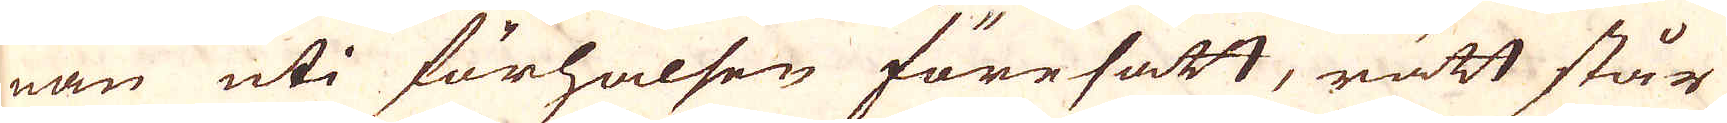nan uti förhalsen föresatt, rätt står
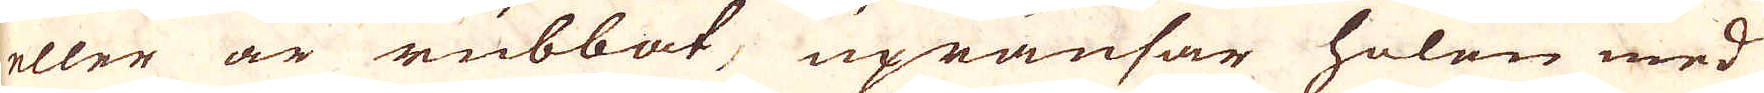eller är rubbat, upränsar holen med
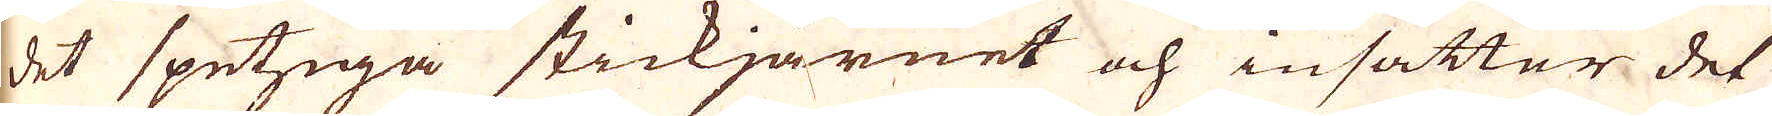det spetziga stickjärnet och insätter det
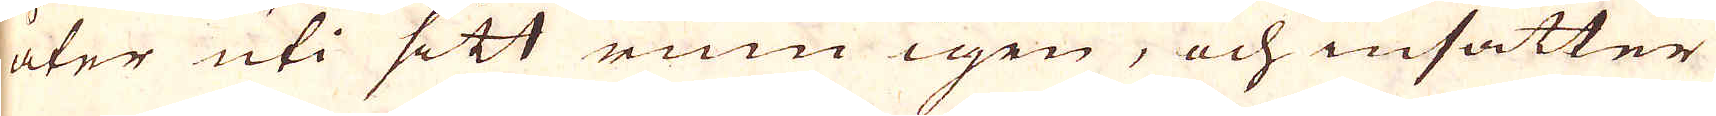åter uti sitt rum igen, och insätter
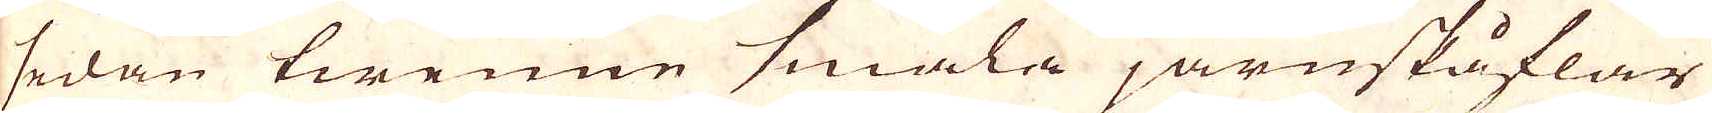sedan twenne smala järnskåflar
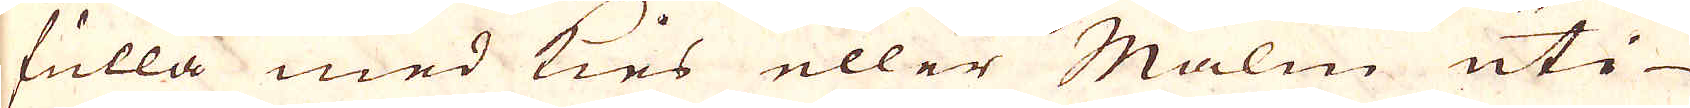fulla med Kies eller Malm uti
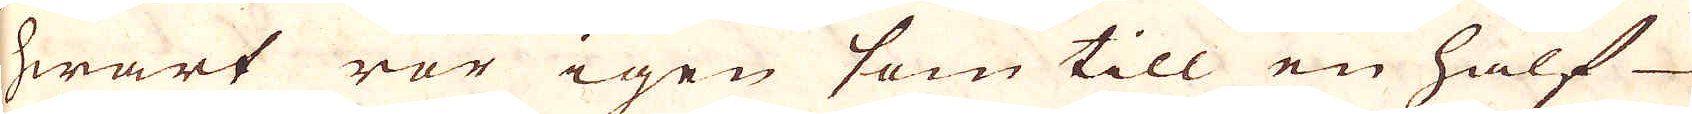hwart rör igen som till en half
